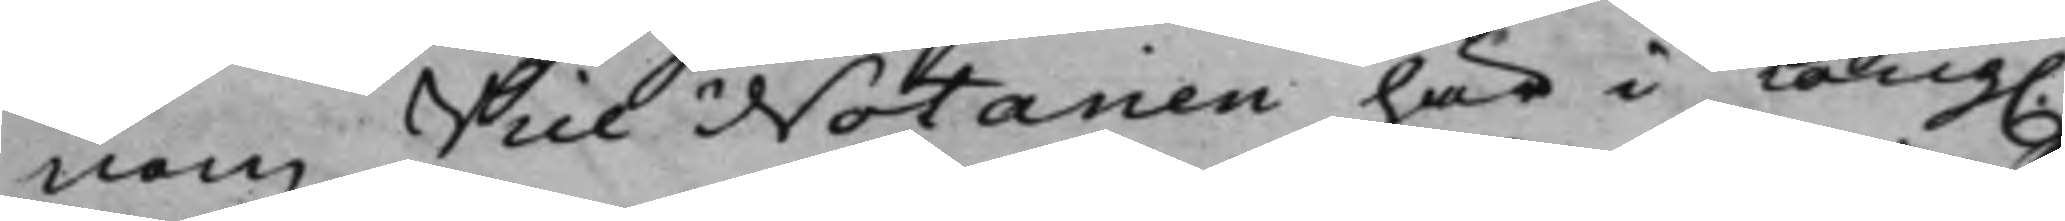nom Vice Notarien här i Kong.
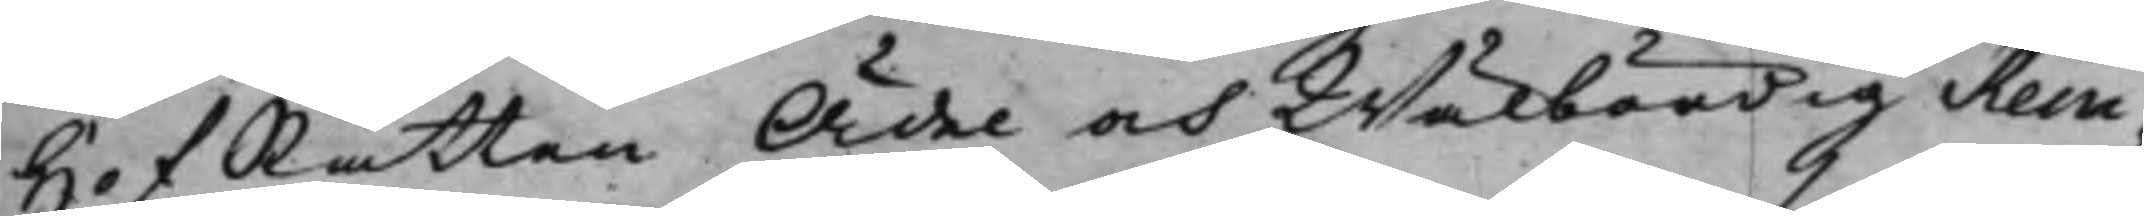HofRätten Ädel och Wälbördig Rein¬
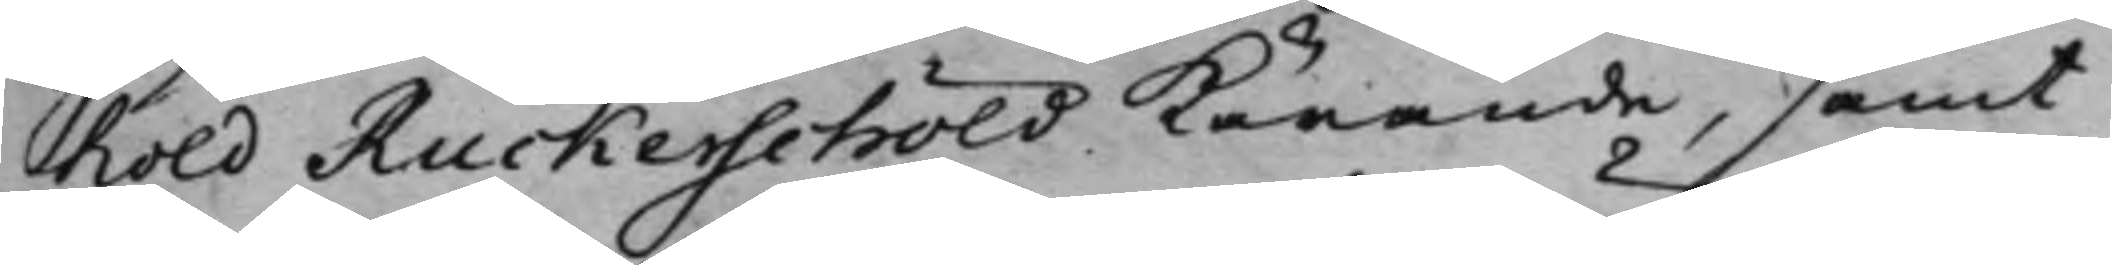hold Ruckerschöld Kärande, samt
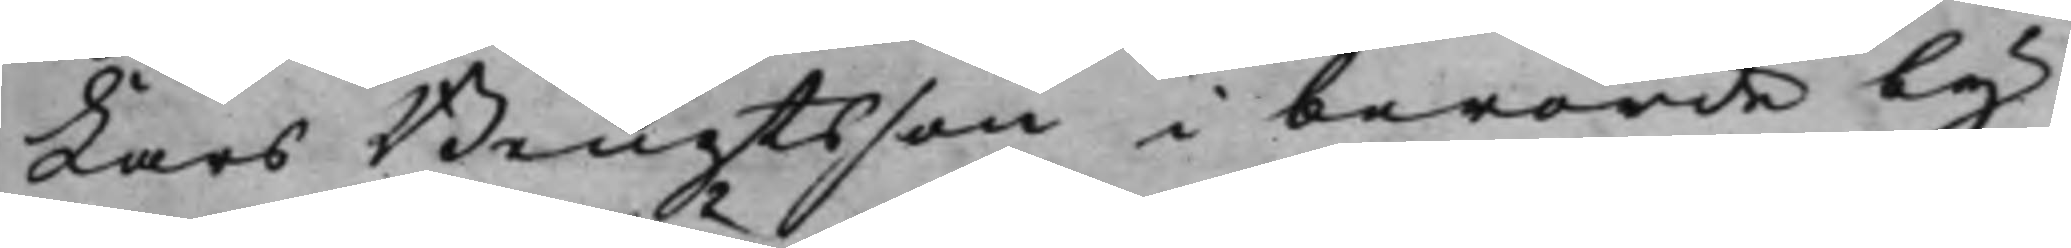Lars Bengtsson i berörde by,
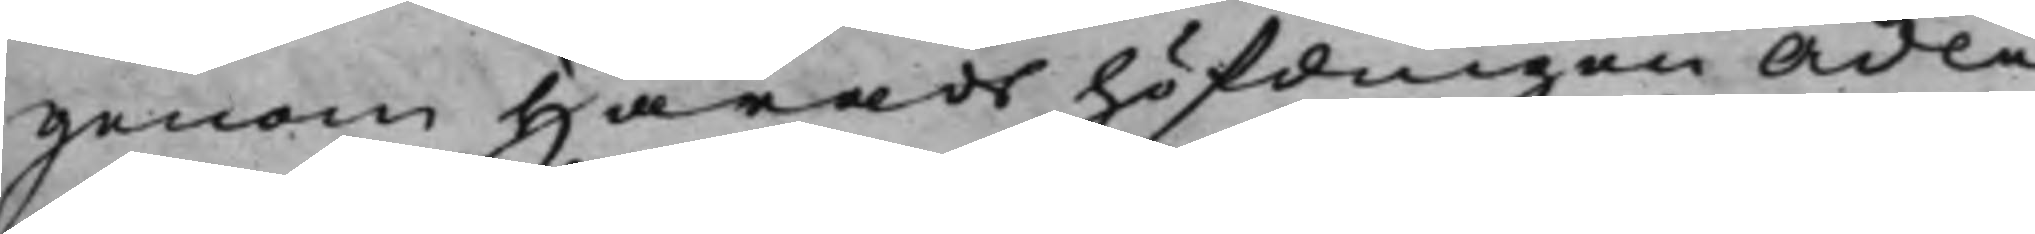genom Häradshöfdingen Ädle
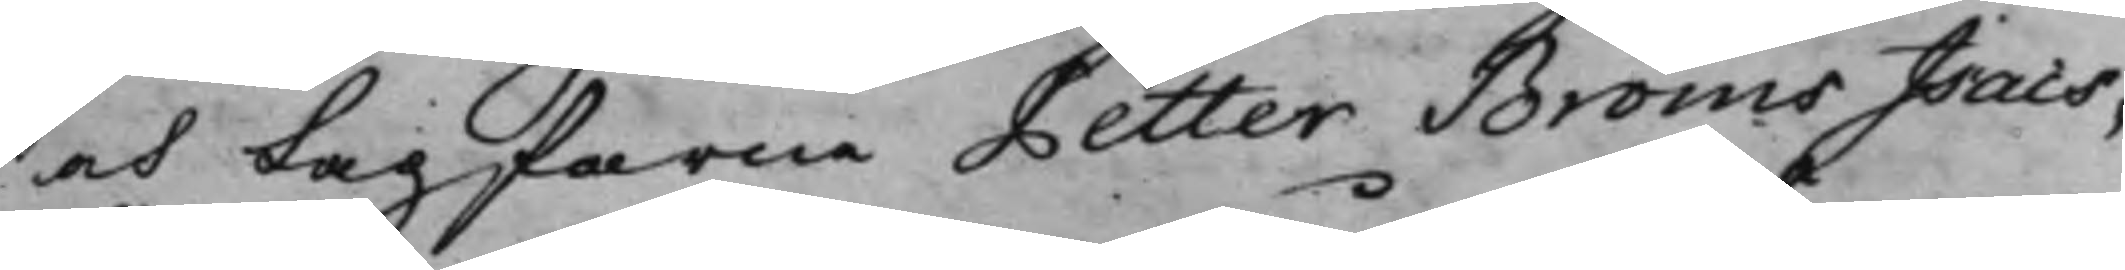och Lagfarne Petter Bröms Isacs¬
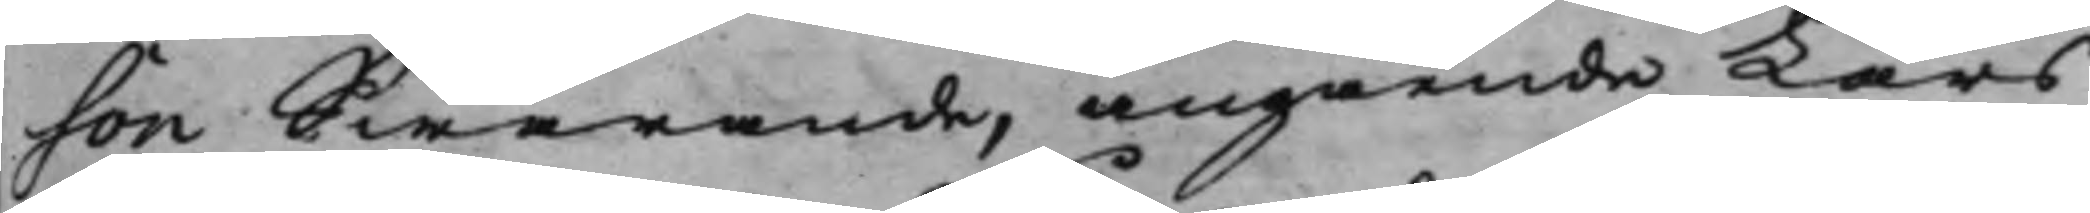son Swarande, angående Lars
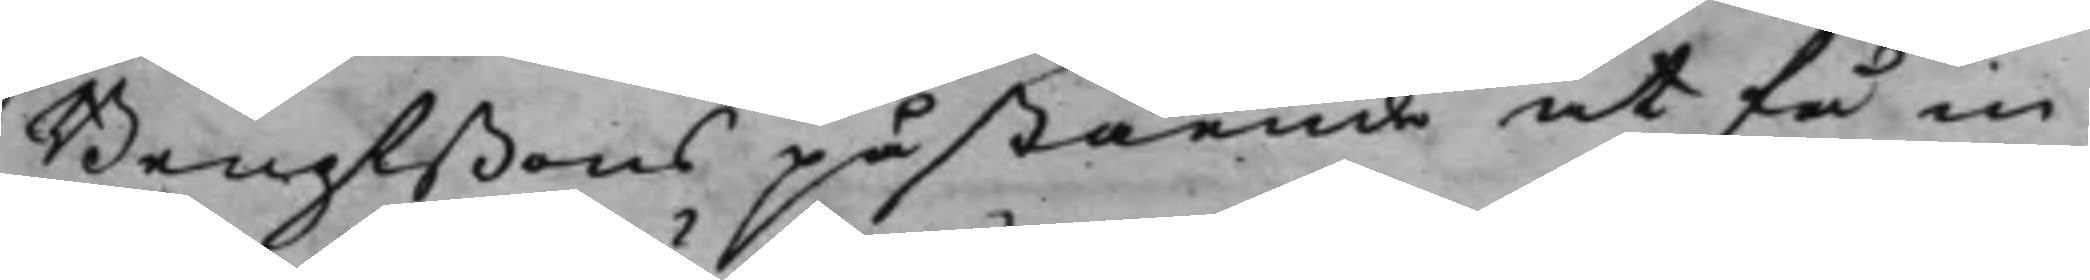Bengtßons påstående at få in¬
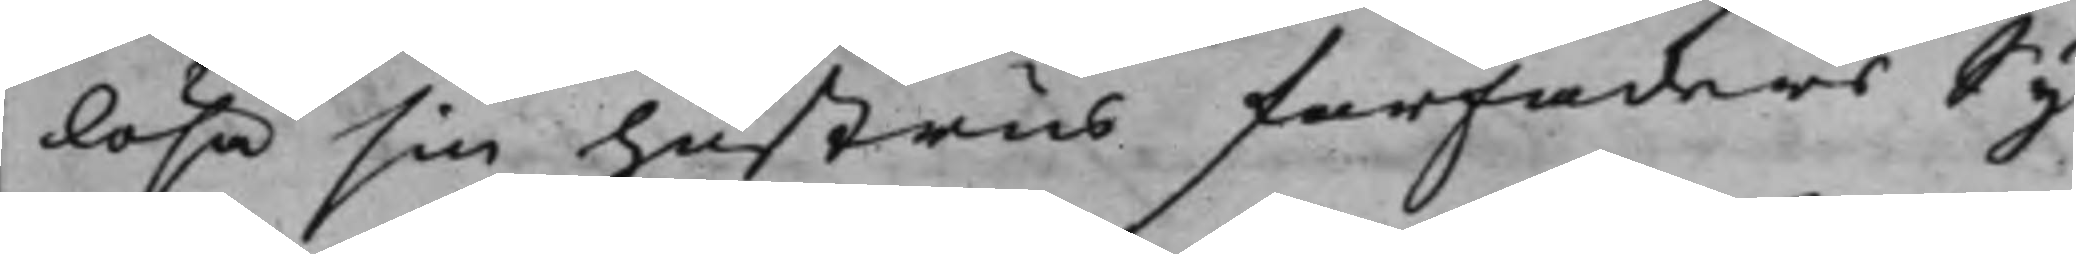lösa sin hustrus farfaders Sy¬
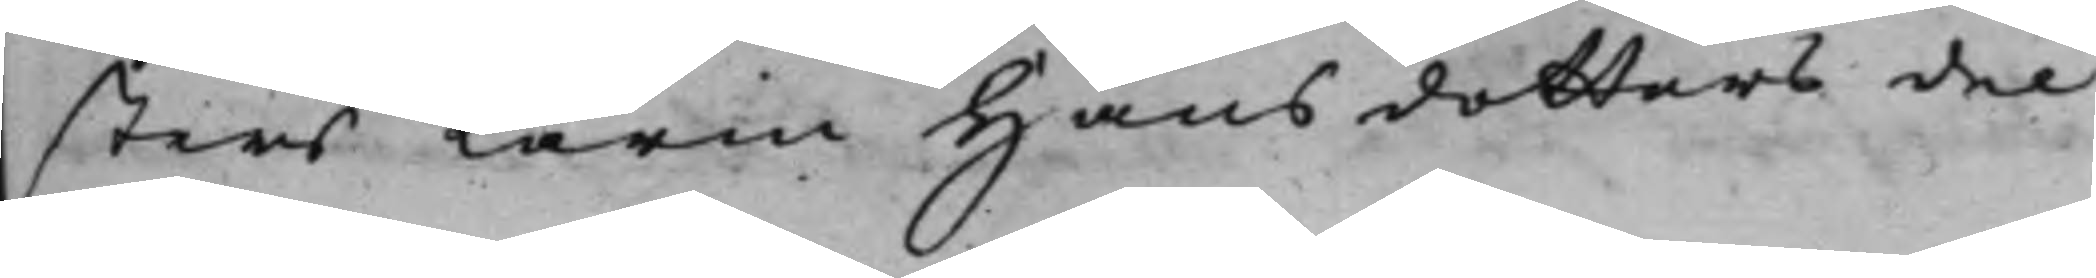sters Karin Hansdotters del
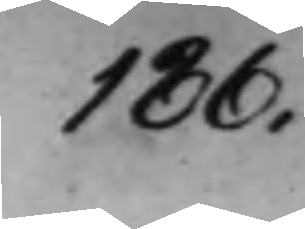186.
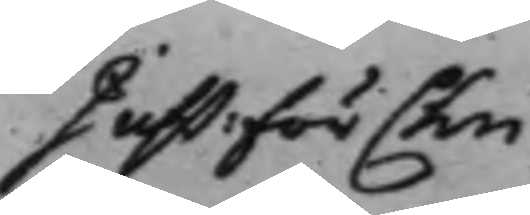Just: för Chri¬
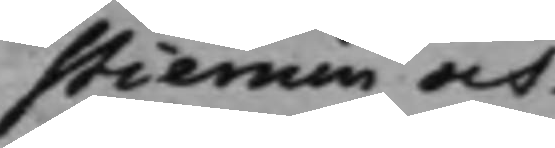stiernin och
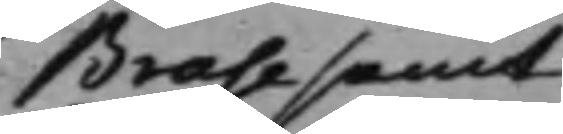Brase samt
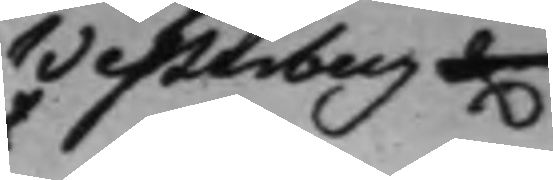Westerberg et.
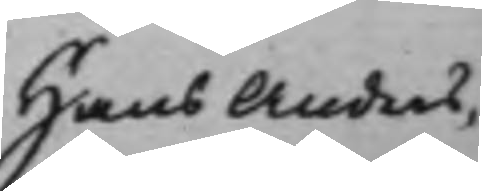Hans Anders¬
